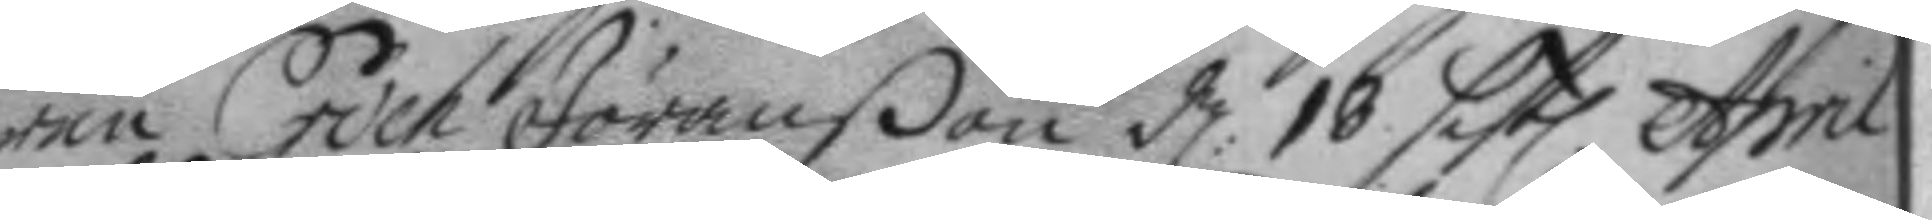ren Erich Jöranßon d: 18 sistl. April
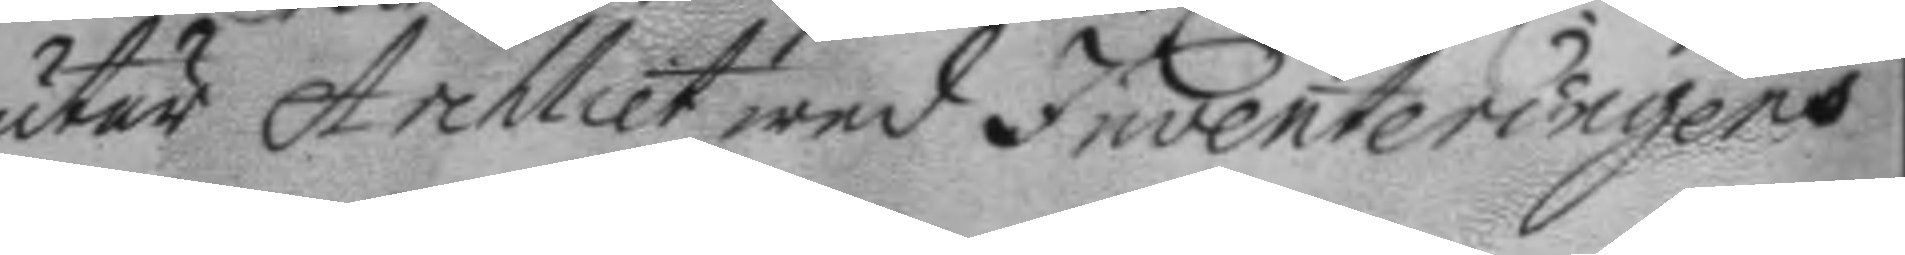utur Archliet wed Inventeringens
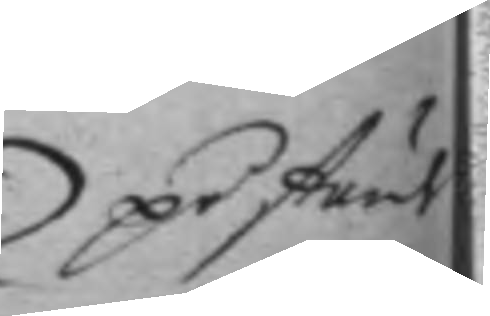på stund
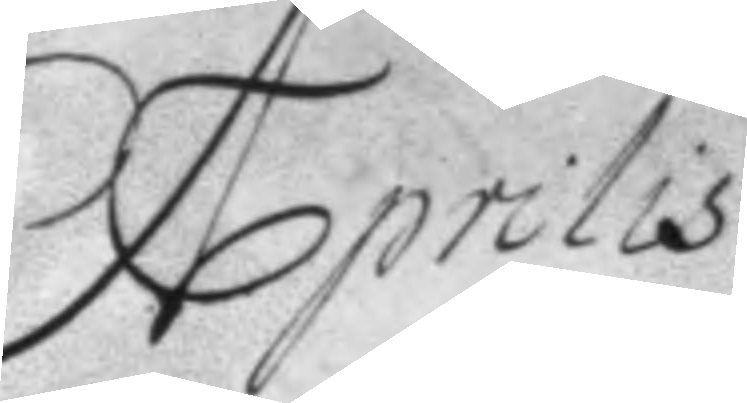Aprilis
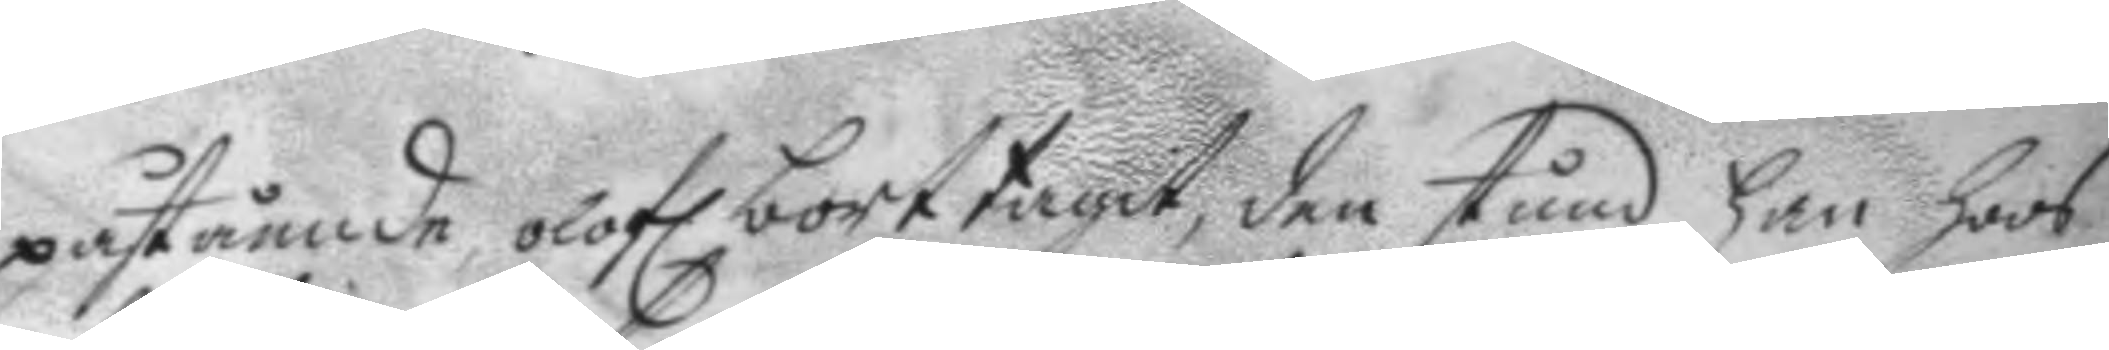påstående olofl. borttagit, den stund han hoos
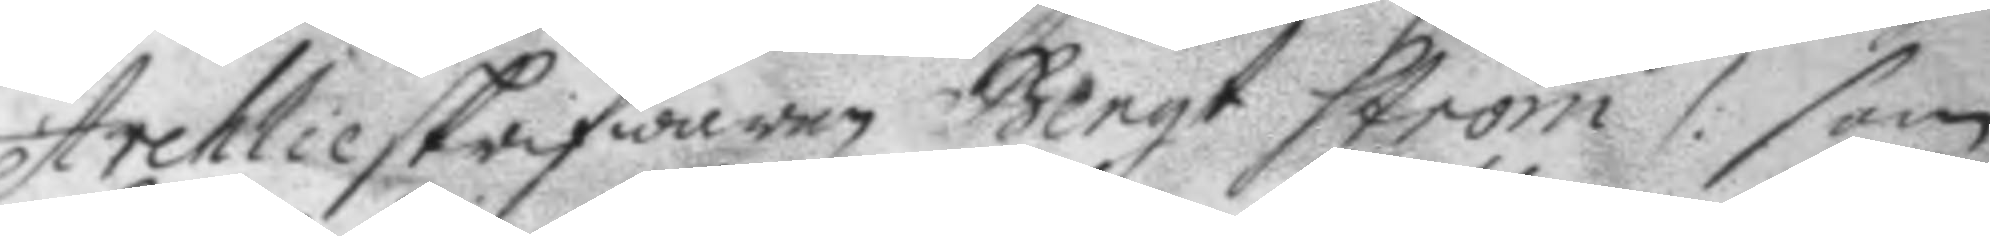Archlieskrifwaren Bengt Ström /: som
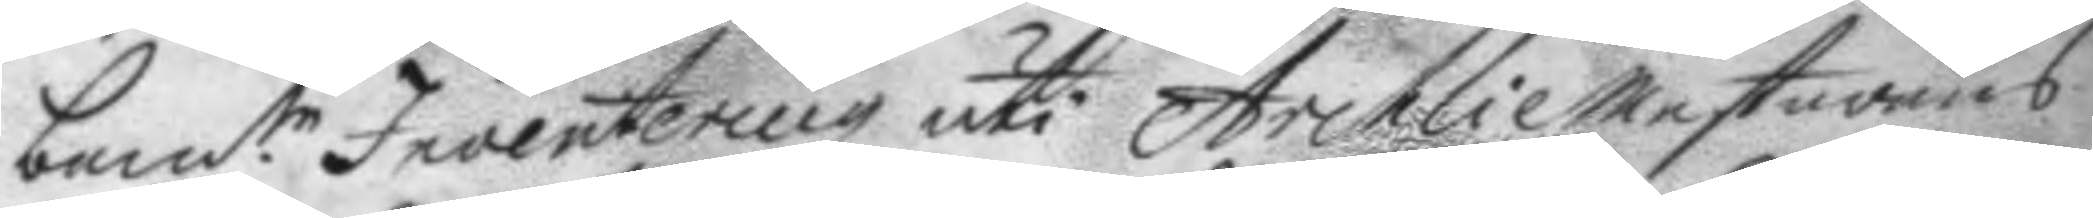bem.te Inventering uti ArchlieMestarens
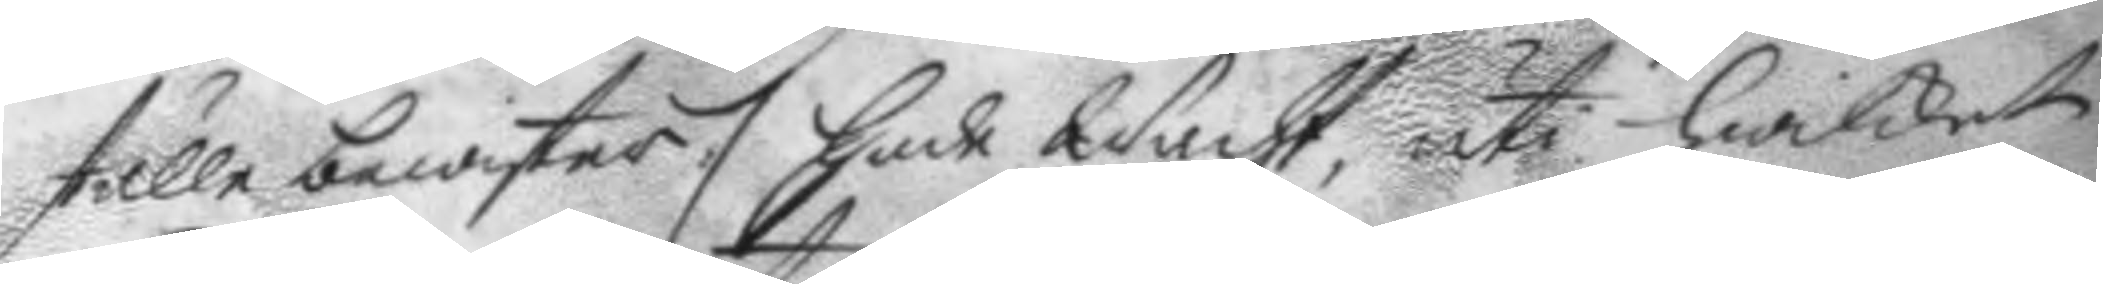ställe bewister :/ hade Wacht, uti hwilket
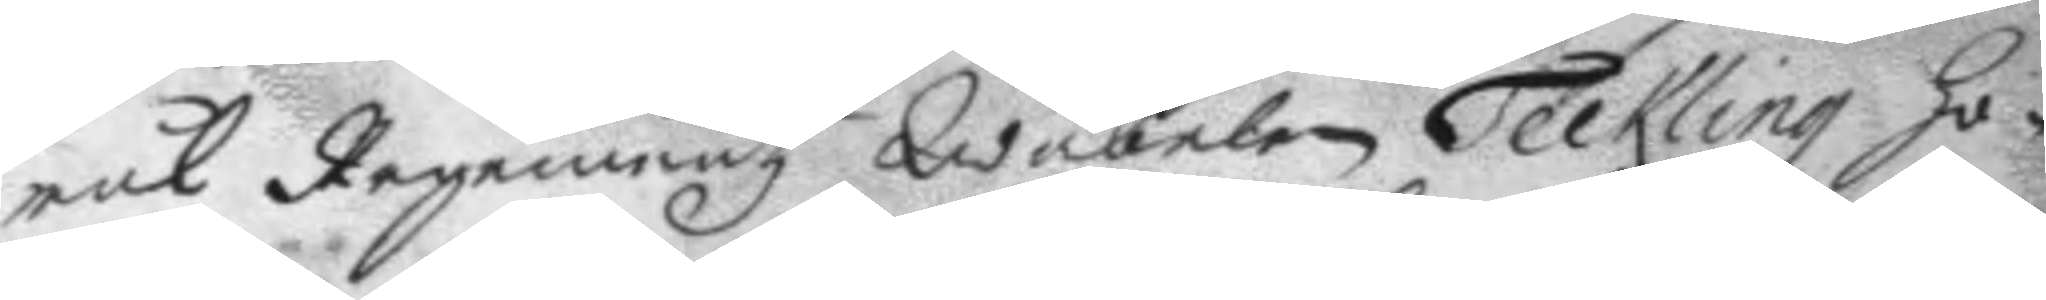mål Regementz Wäbelen Teckling ho¬
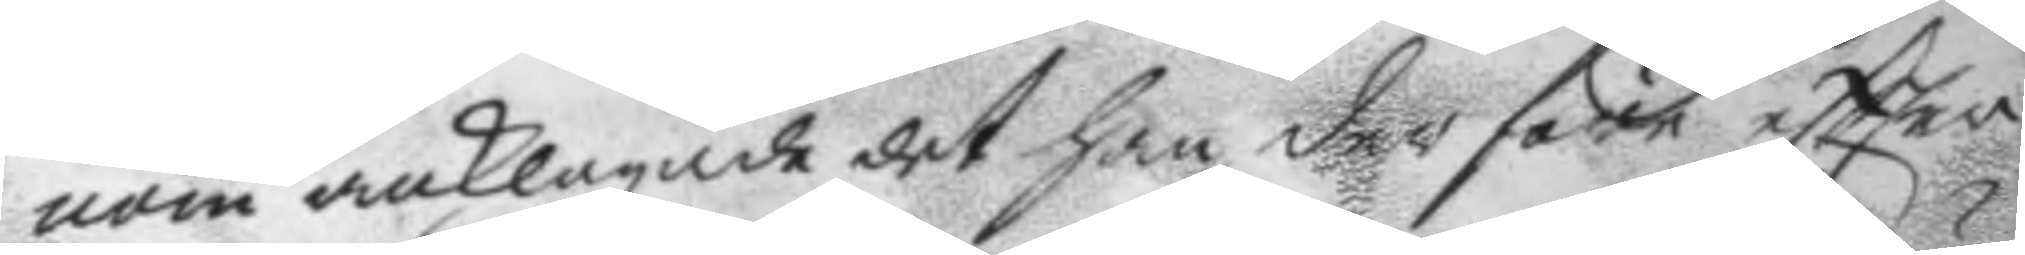nom anklagade det han der före eftter
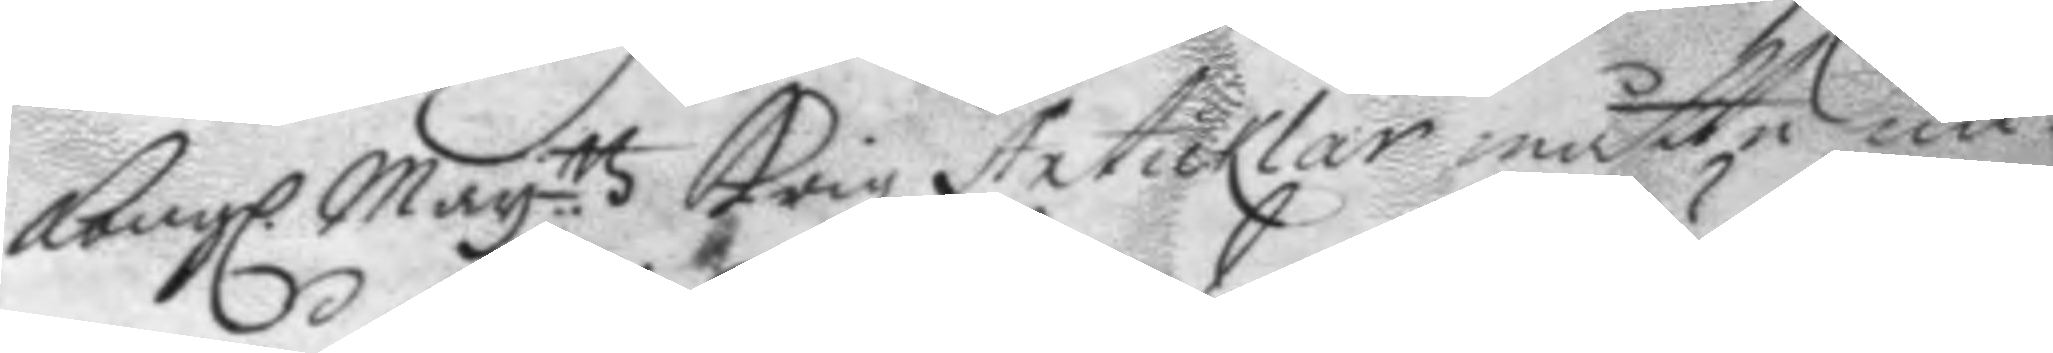Kongl. May.tts Krigz Articklar måtte un¬
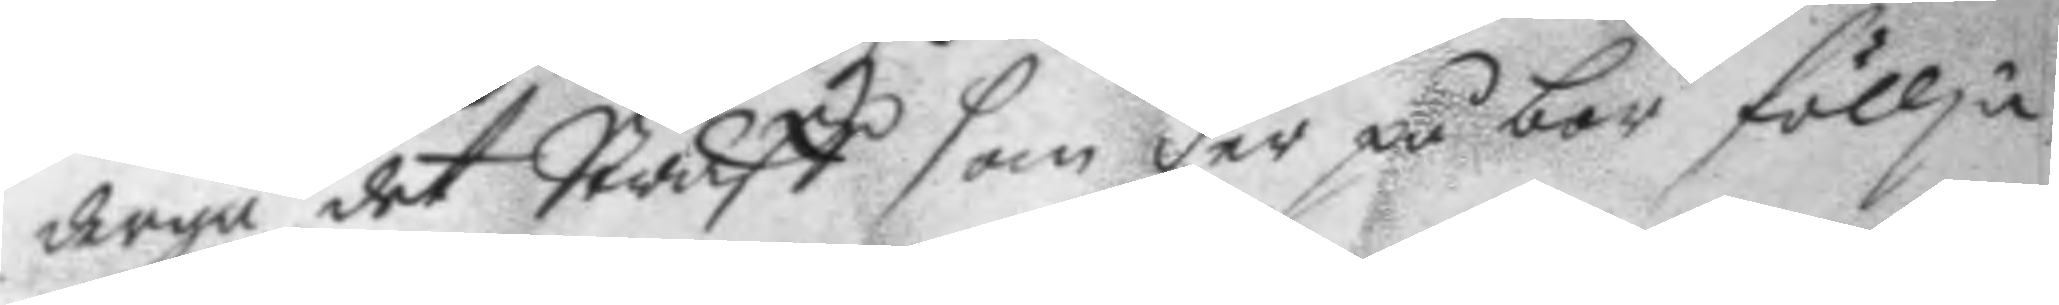dergå det Straff som der på bör föllja.
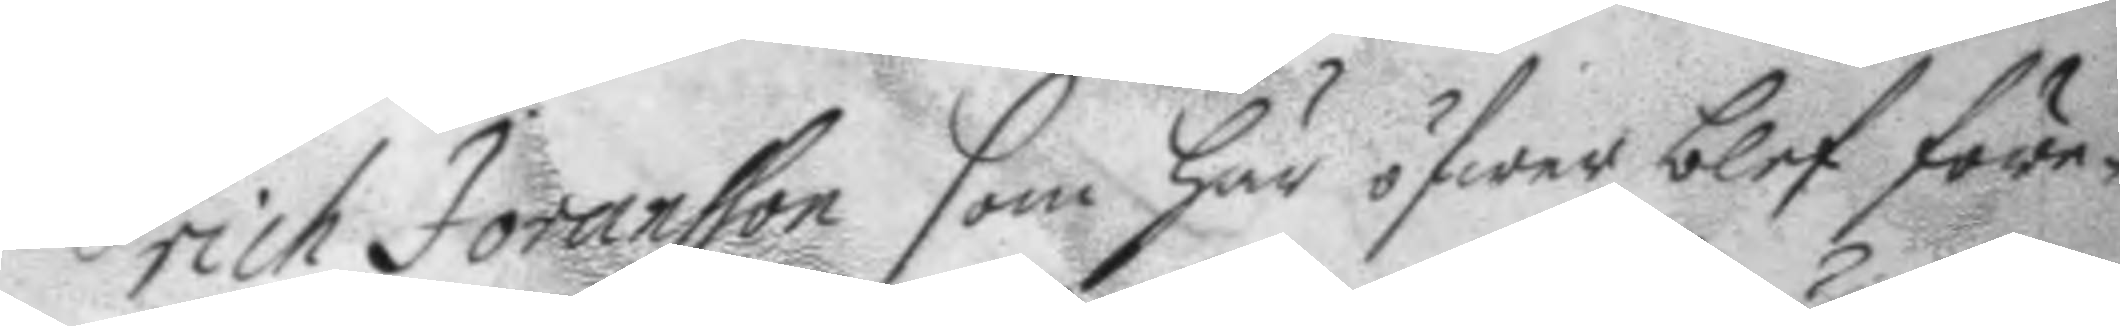Erich Joransson som här öfwer blef före¬
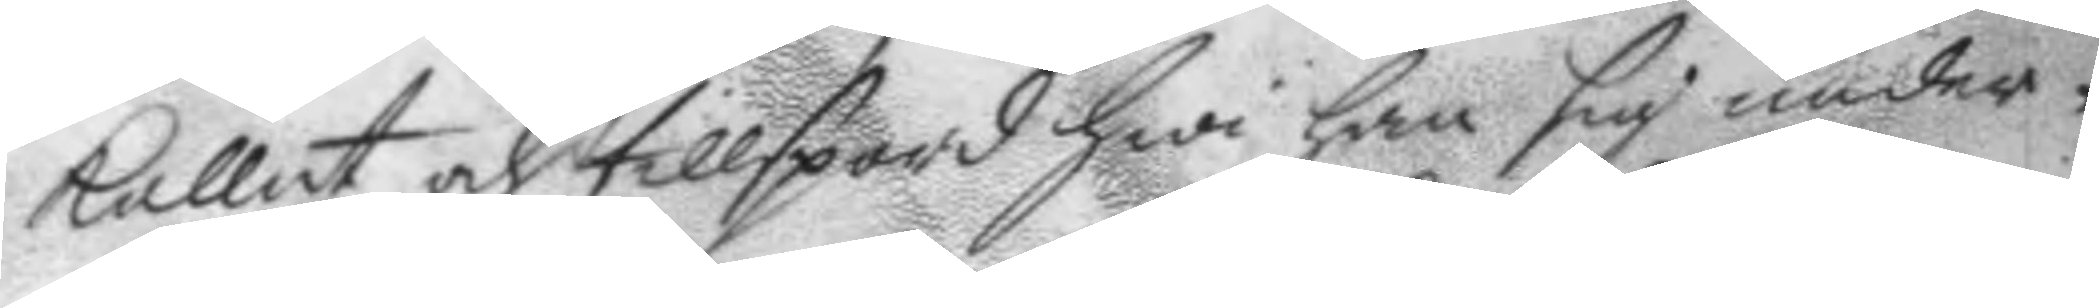kallat och tillspord hwi han sig under¬
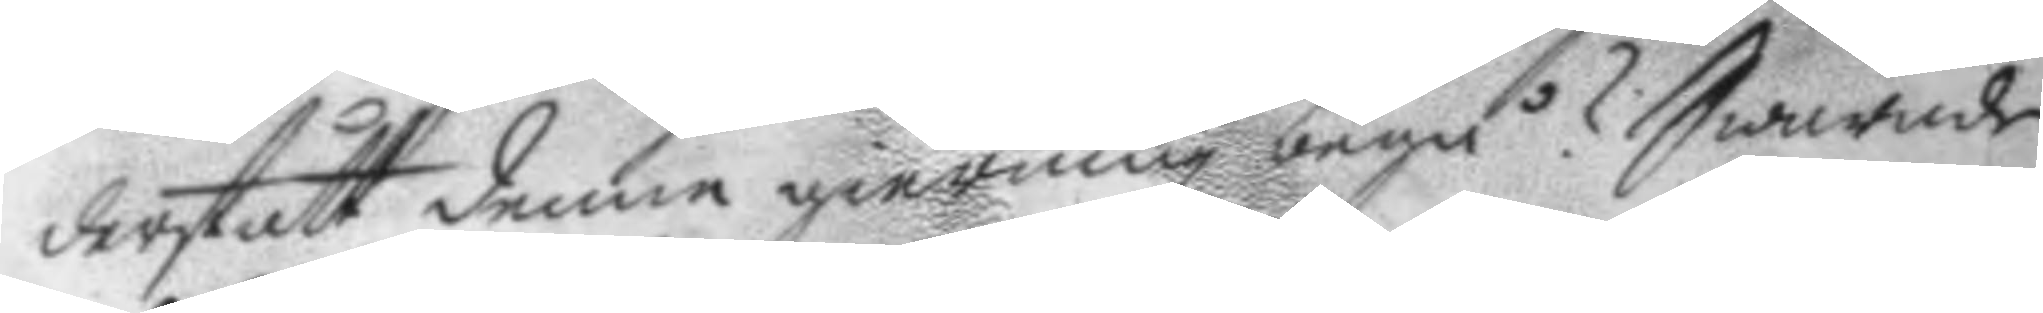derstått denne gierning begå? Swarade
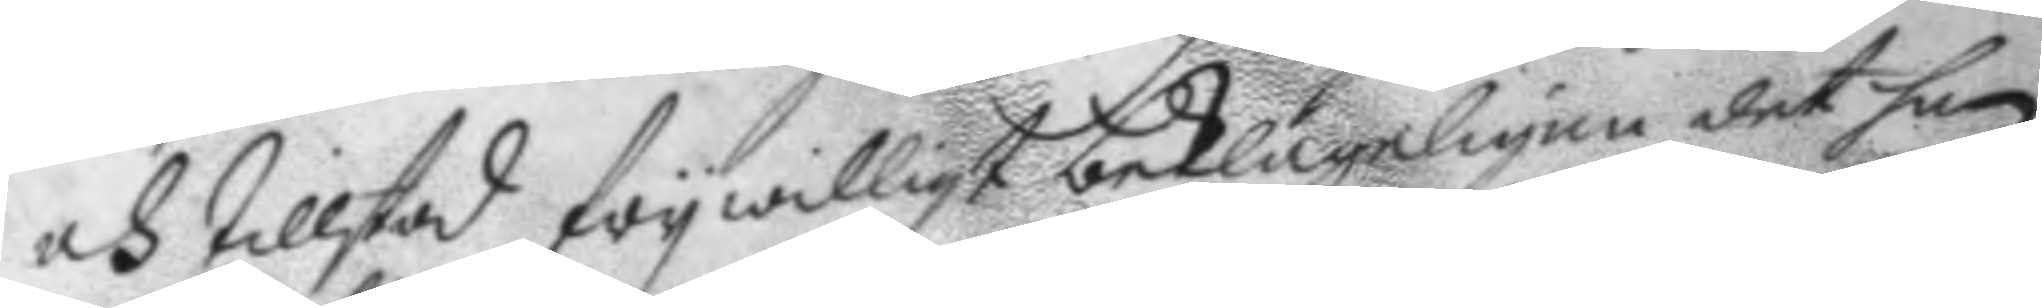och tillstod frywilligt beklageligen det han
